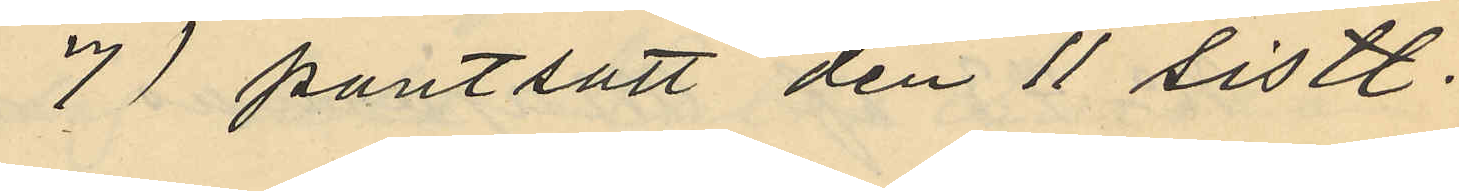7) pantsatt den 11 sistl.
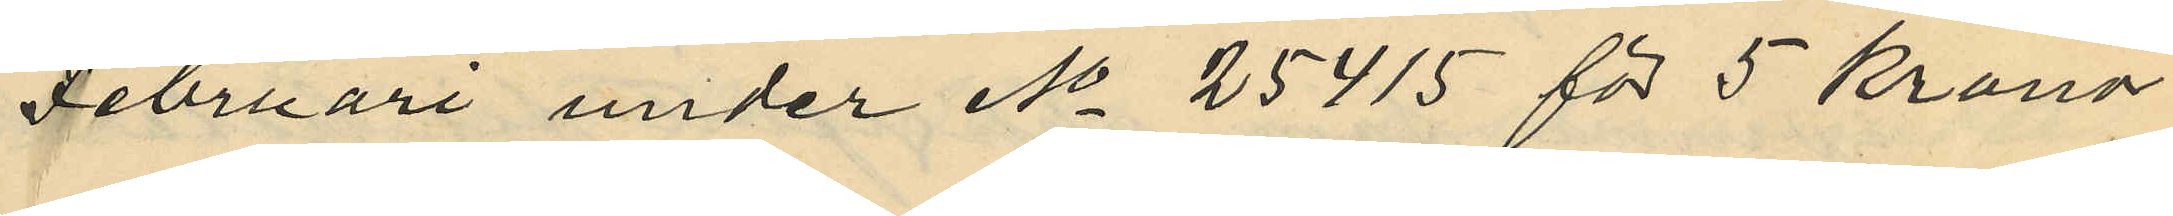Februari under No 25415 för 5 kronor
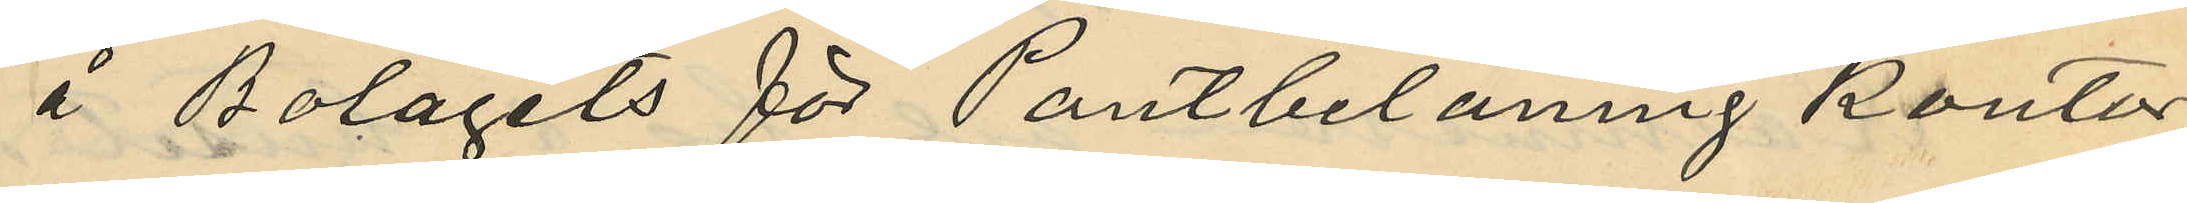å Bolagets för Pantbelåning kontor
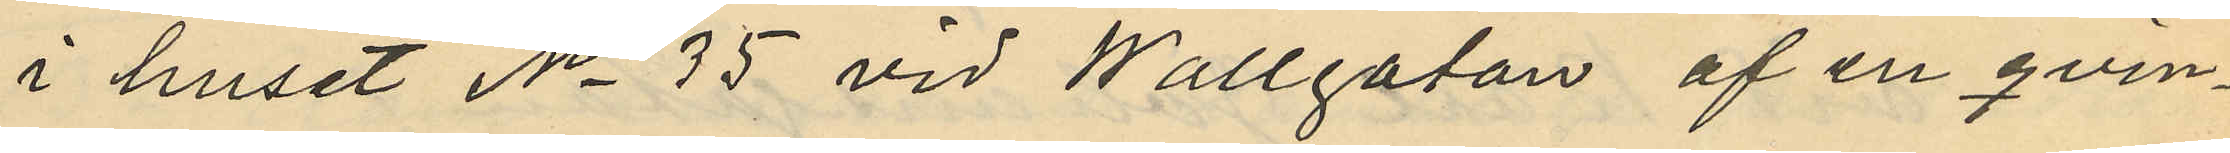i huset No 35 vid Wallgatan af en qvin¬
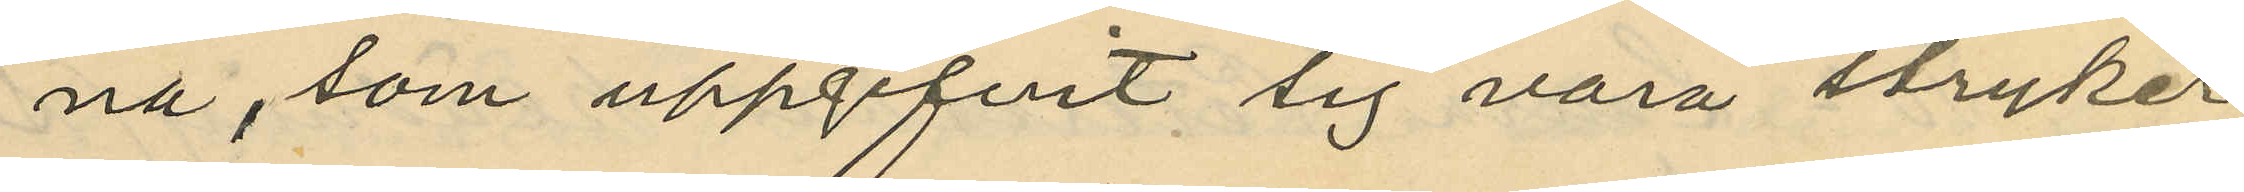na, som uppgifvit sig vara stryker¬
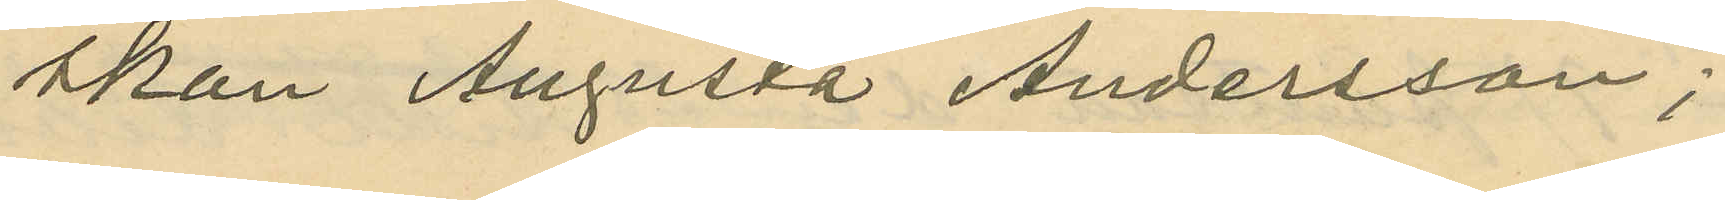skan Augusta Andersson;
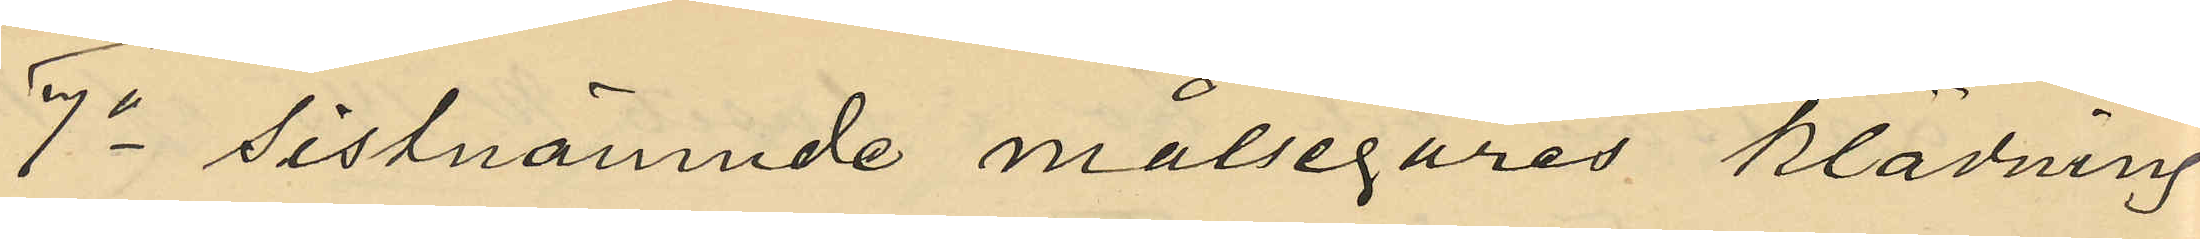7o sistnämnde målsegares klädning
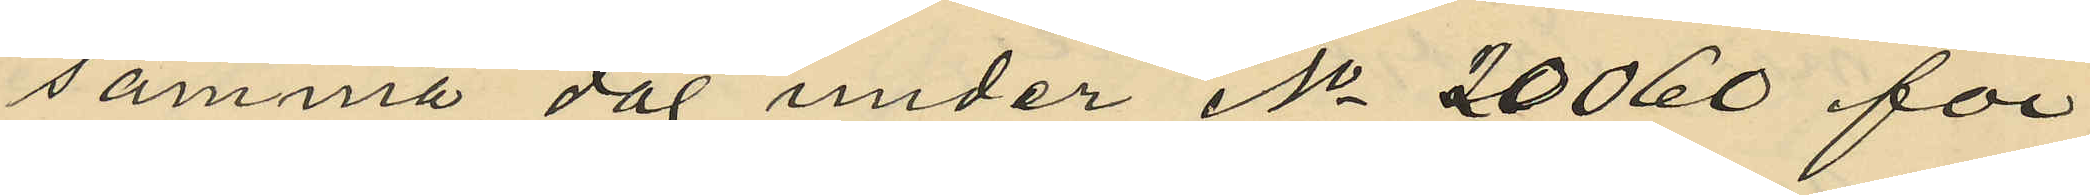samma dag under No 20060 för
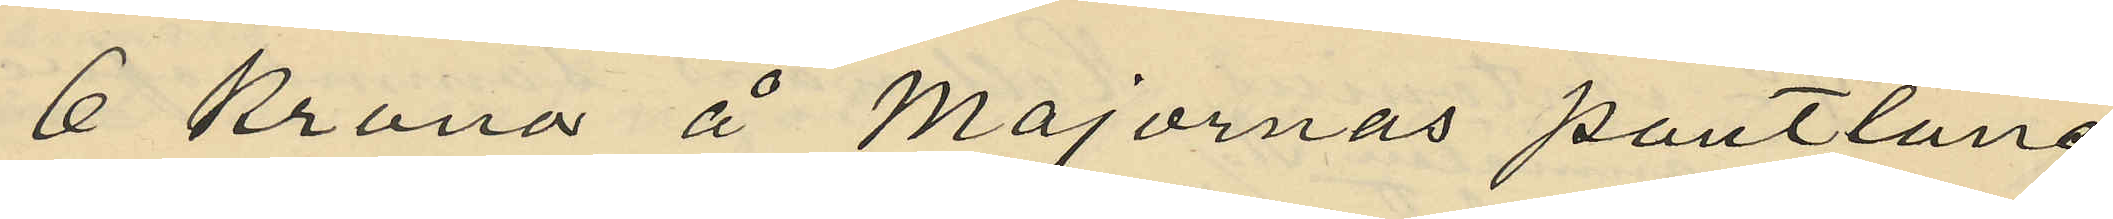6 Kronor å Majornas pantlåne¬
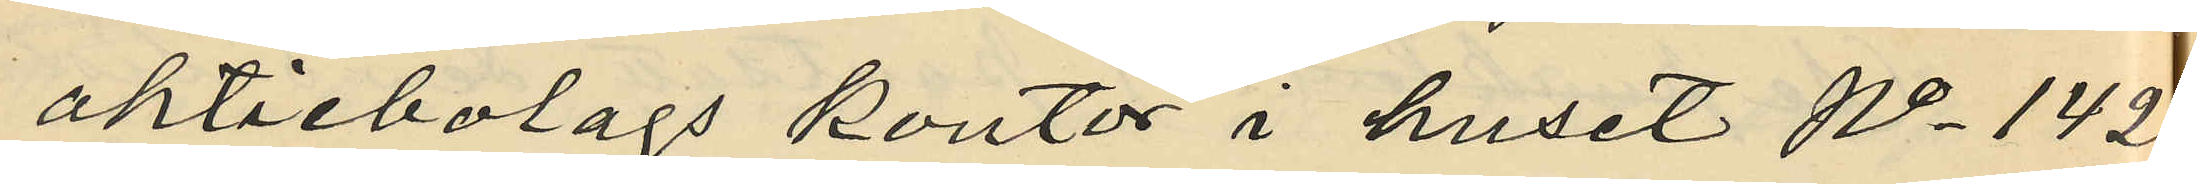aktiebolags kontor i huset No 142
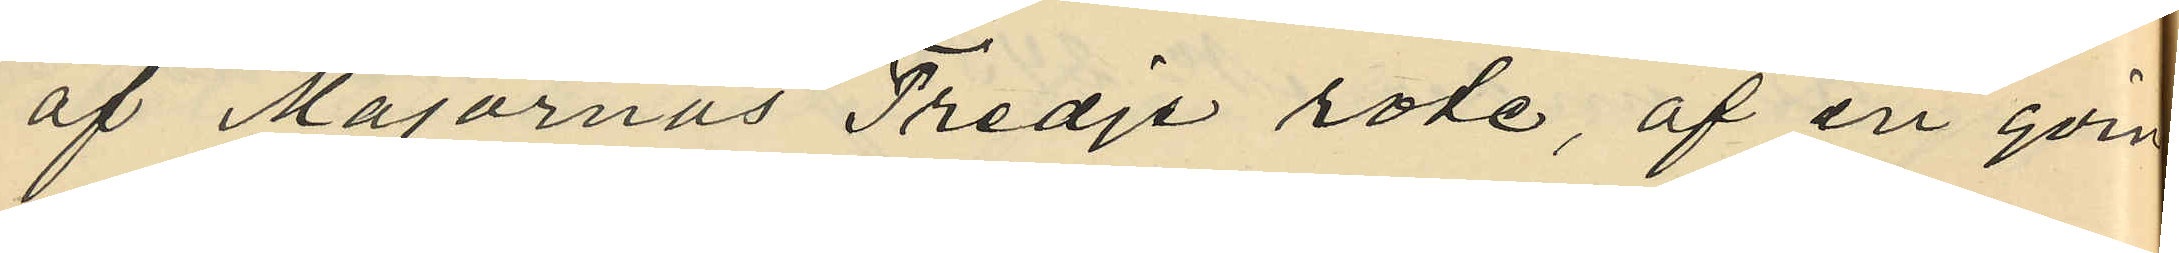af Majornas Tredje rote, af en qvin¬
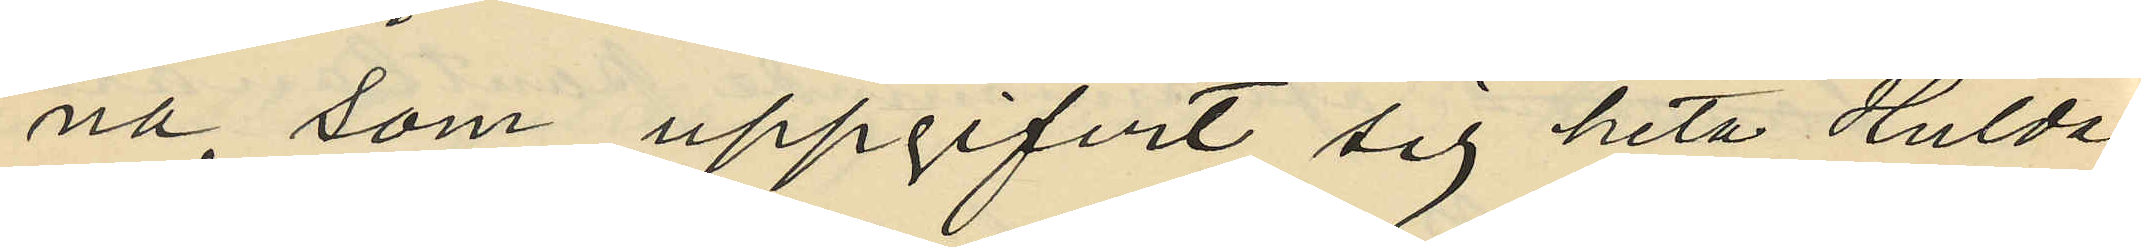na, som uppgifvit sig heta Hulda
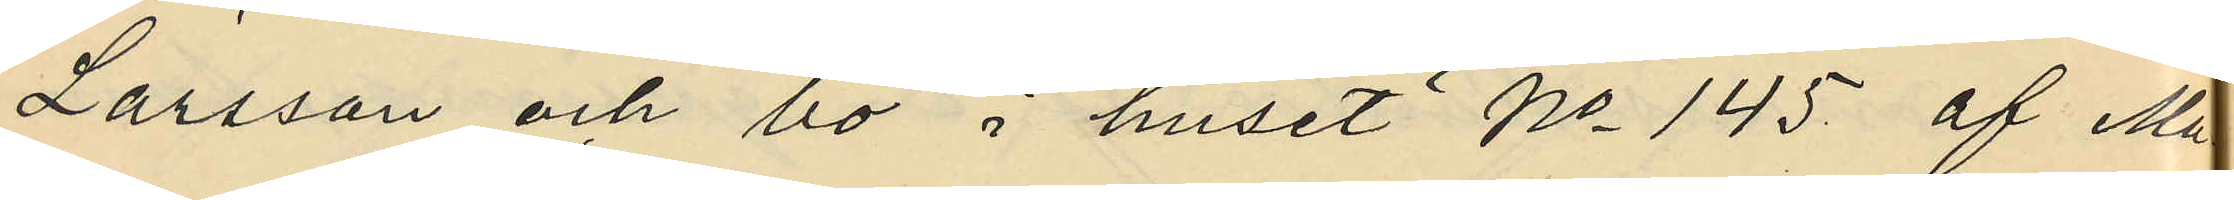Larsson och bo i huset No 145 af Ma¬
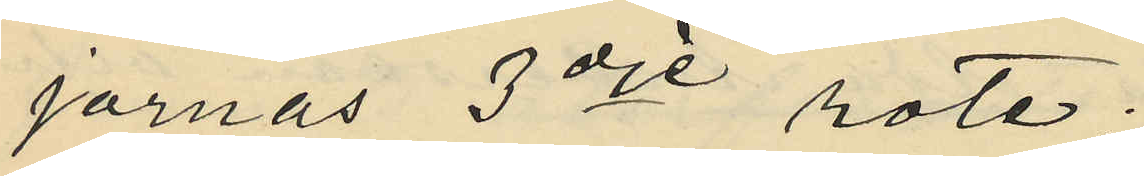jornas 3dje rote;
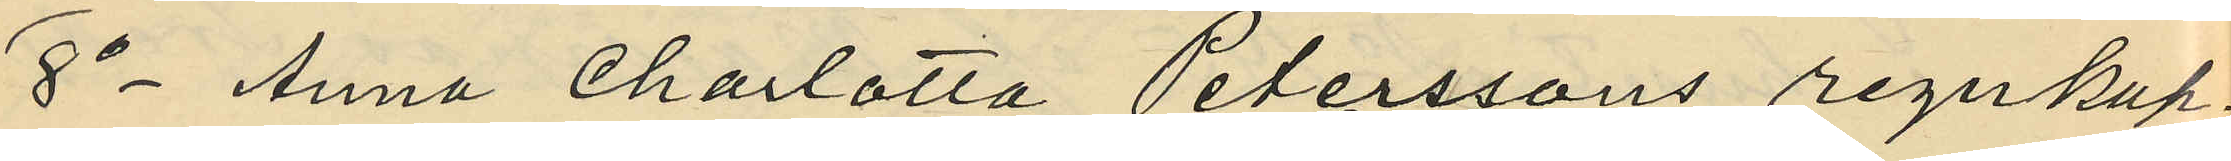8o Anna Charlotta Peterssons regnkap¬
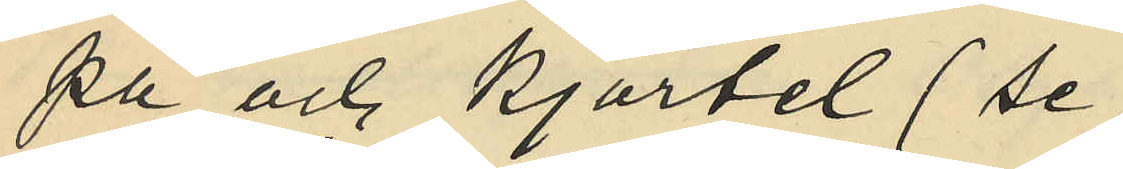pa och kjortel (se
